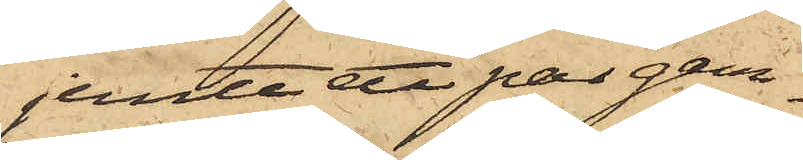jemte ett par gam¬
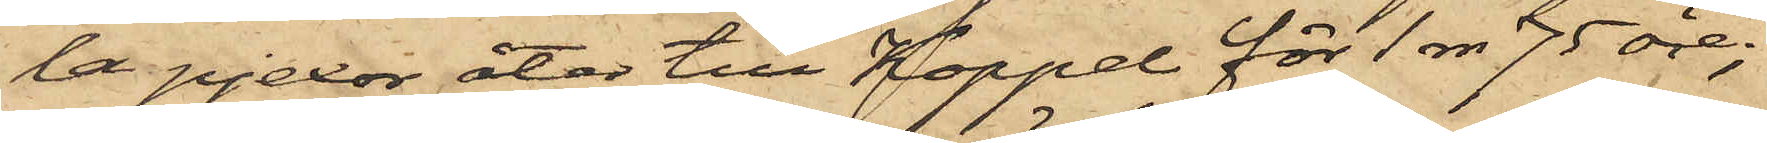la pjexor åter till Koppel för 1 rdr 75 öre;
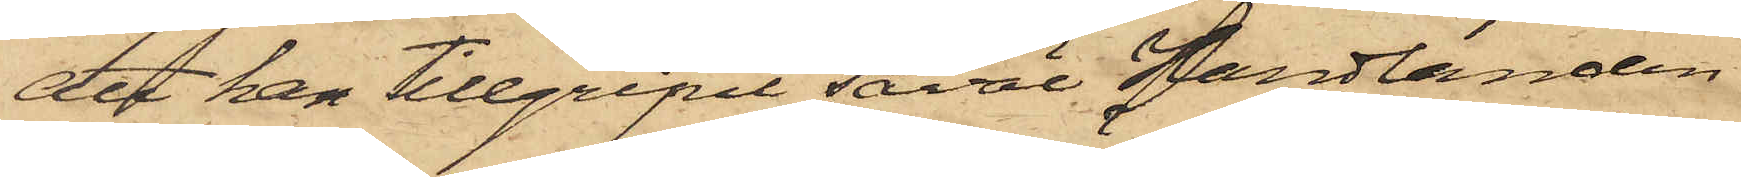att han tillgripit såväl Handlanden
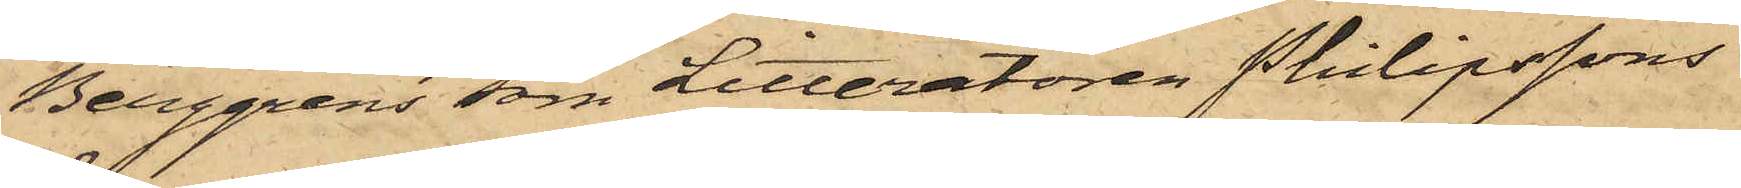Berggrens som Litteratören Philipssons
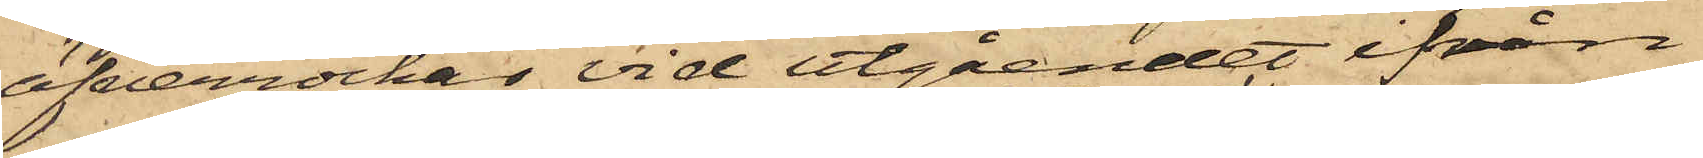öfverrockar vid utgåendet ifrån
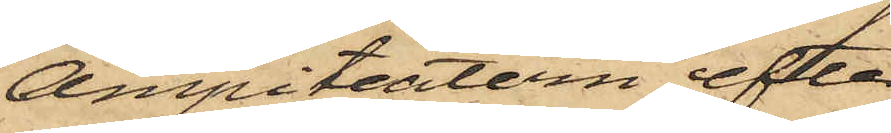Ampiteatern efter
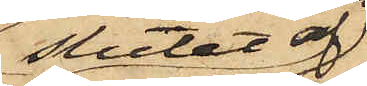slutet af
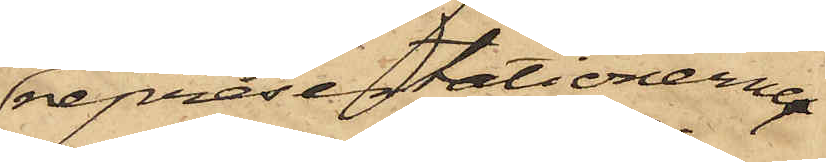representationerna
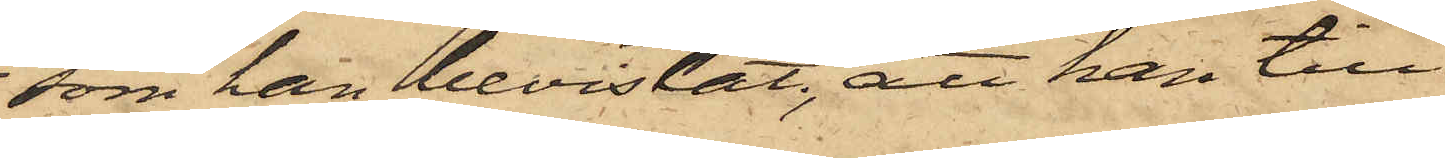som han bevistat; att han till
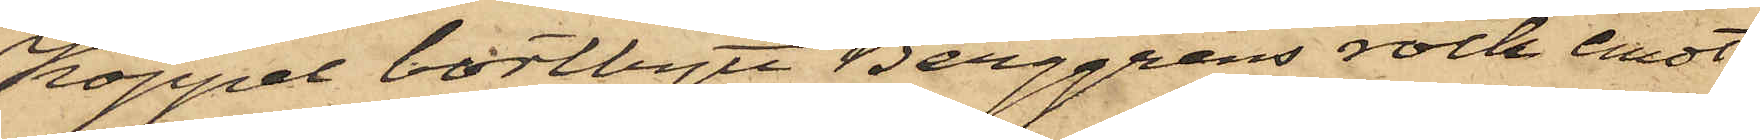Koppel bortbytt Berggrens rock emot
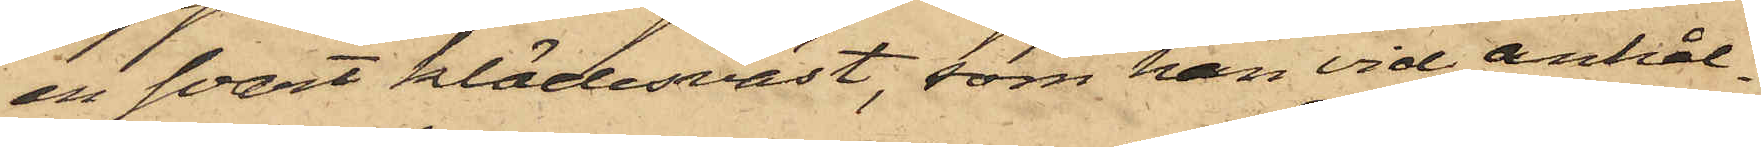en svart klädesväst, som han vid anhål¬
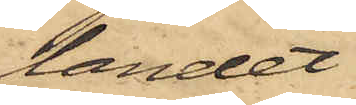landet
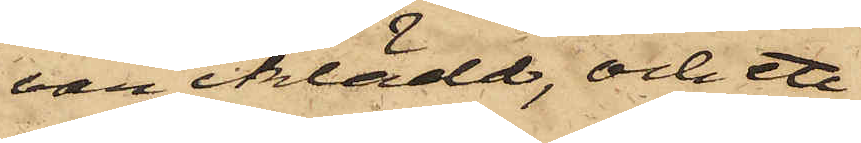var iklädd, och ett
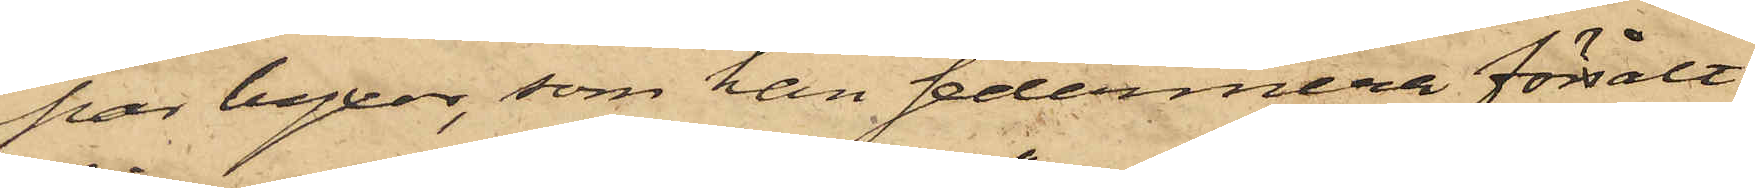par byxor, som han sedermera försålt
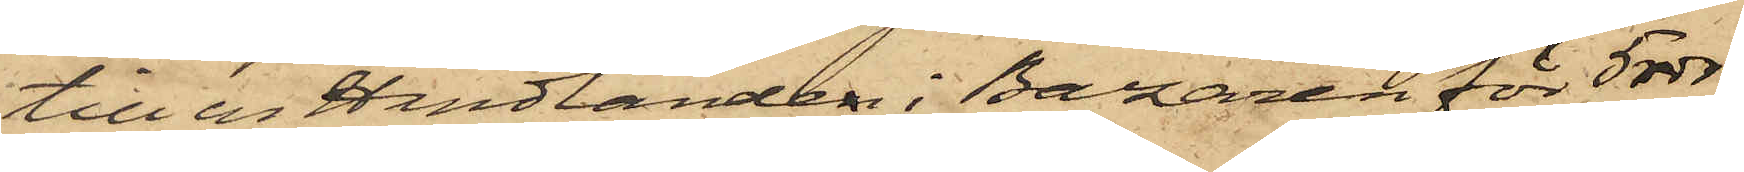till en Handlanden i Bazaren för 5 rdr,
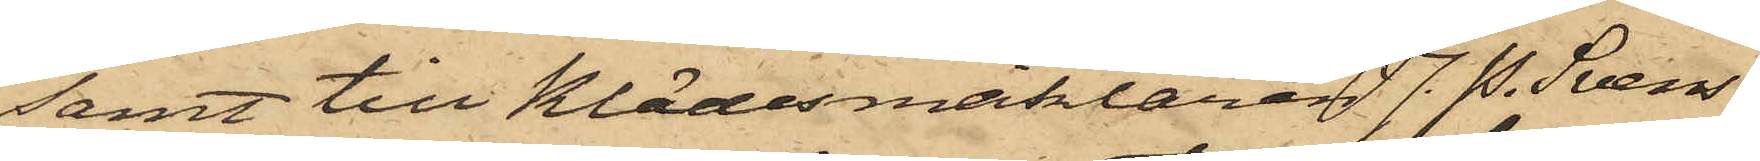samt till Klädesmäklaren J. P. Svens¬
